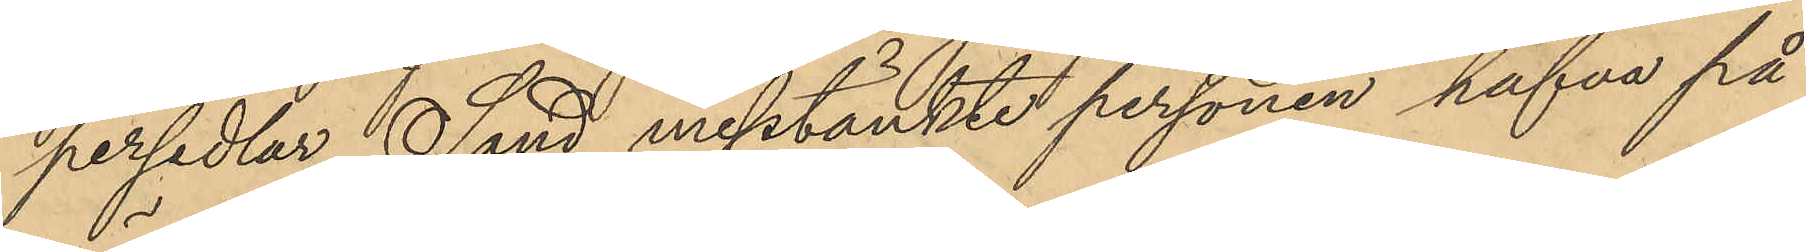persedlar Sand misstänkte personen hafva på
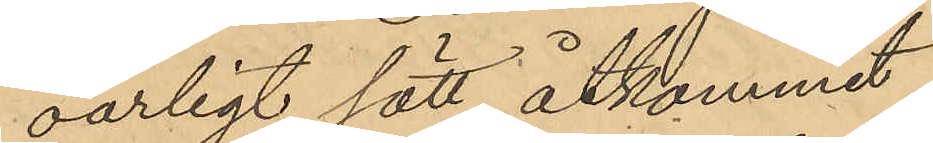oärligt sätt åtkommit.
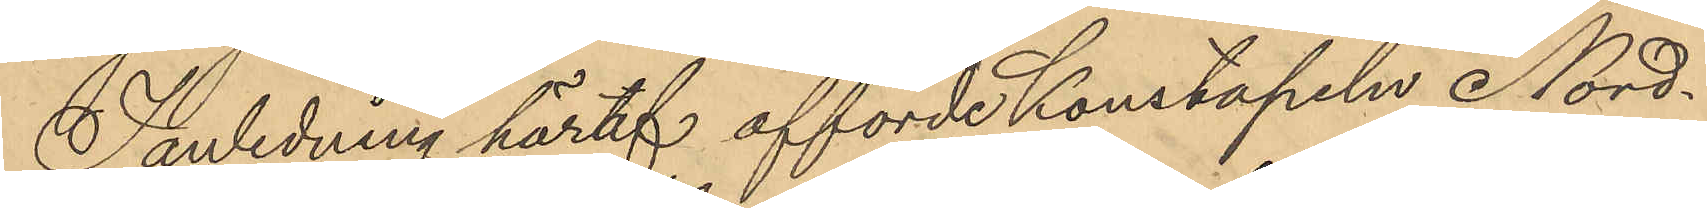I anledning häraf afförde Konstapeln Nord¬
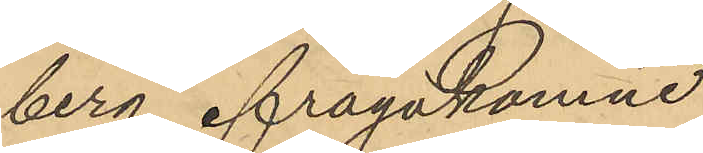berg ifrågakomne
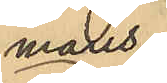mans¬
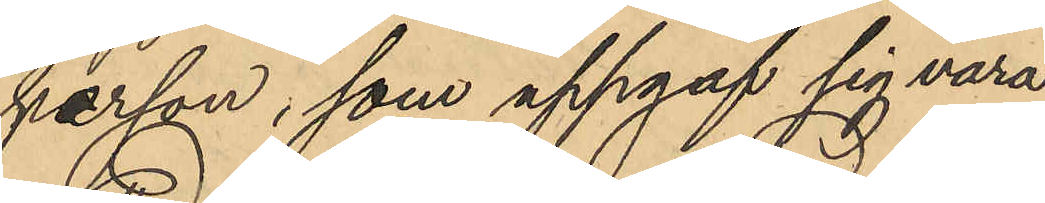person, som uppgaf sig vara
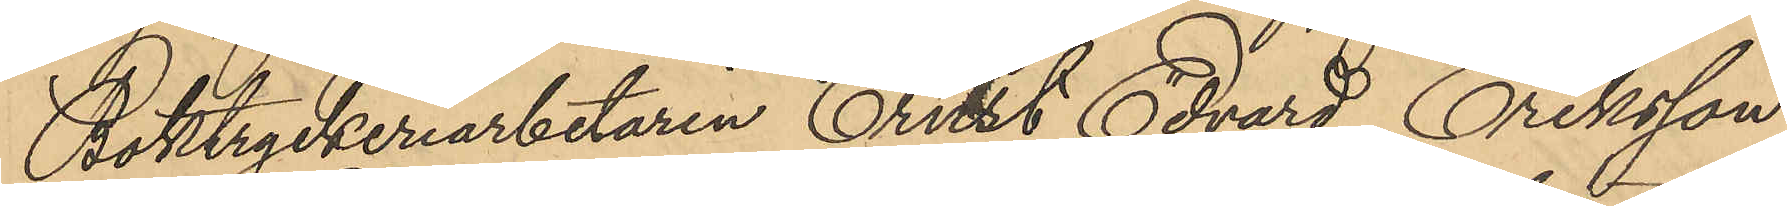Boktryckeriarbetaren Ernst Edvard Eriksson
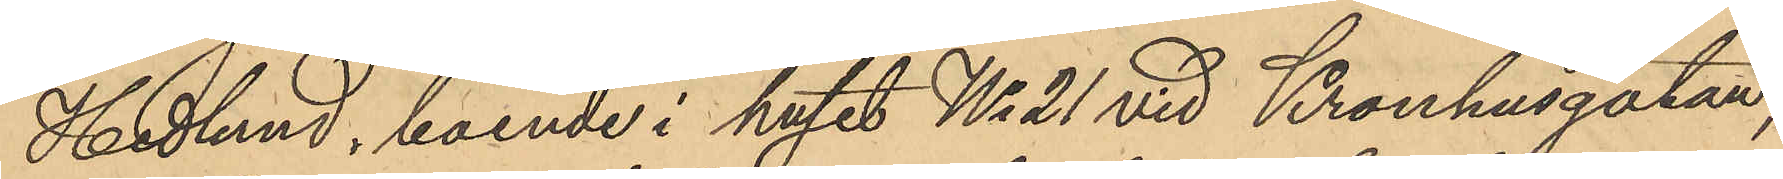Hedlund, boende i huset No 21 vid Kronhusgatan,
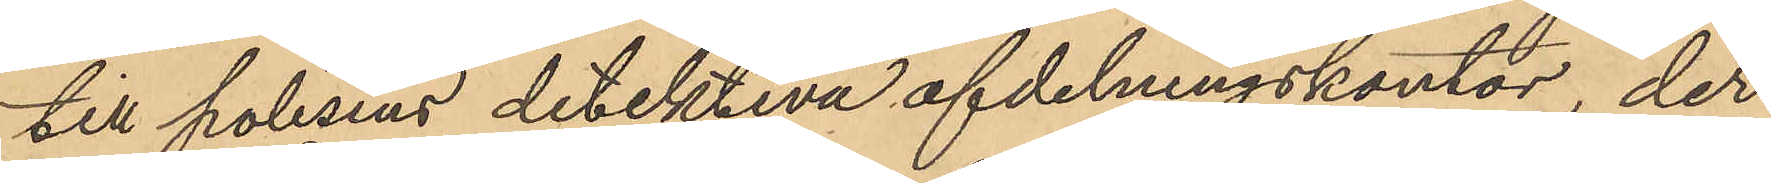till polisens detektiva afdelningskontor, der
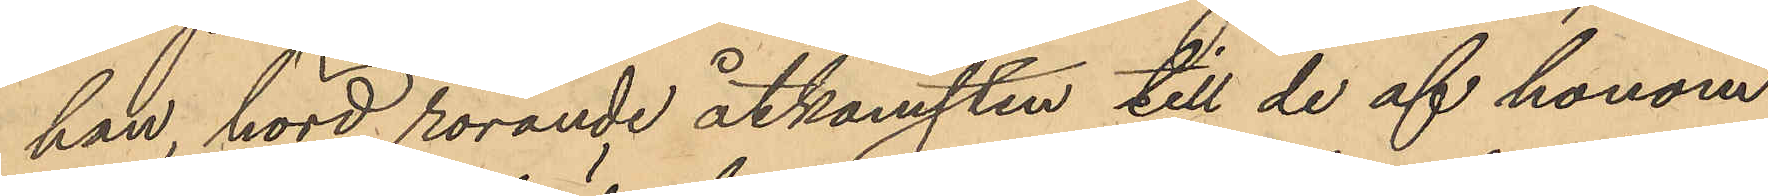han, hörd rörande åtkomsten till de af honom
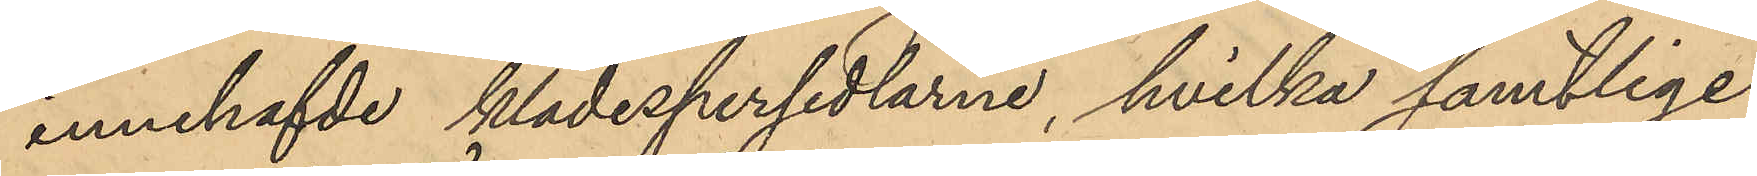innehafde klädespersedlarne, hvilka samtlige
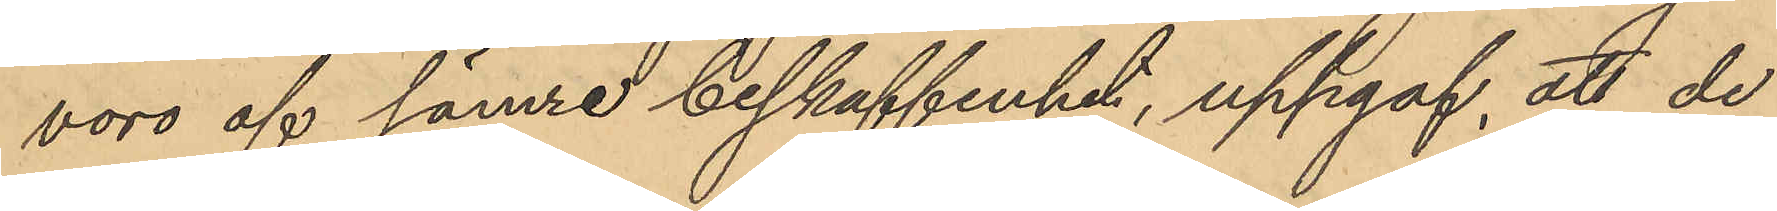voro af sämre beskaffenhet, uppgaf, att de
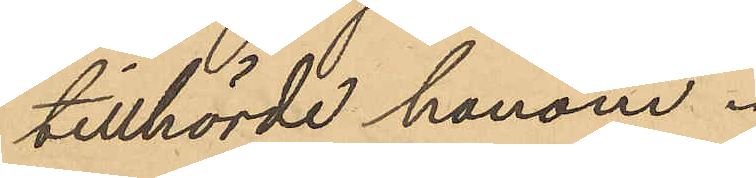tillhörde honom.
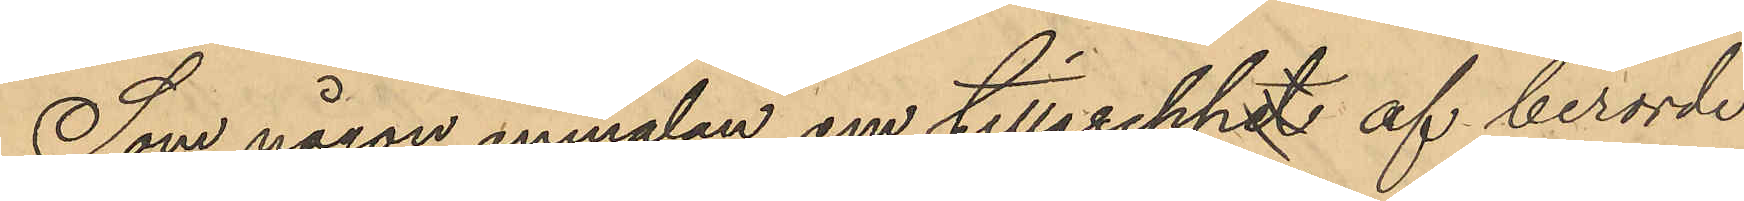Som någon anmälan om tillgreppet af berörde
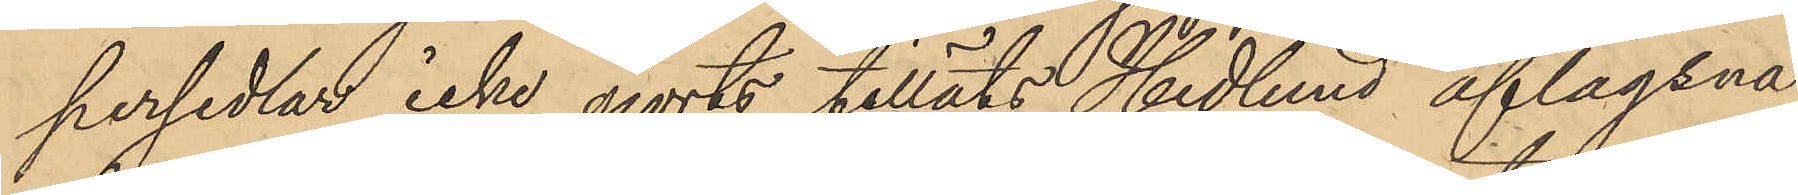persedlar icke gjorts, tilläts Hedlund aflägsna
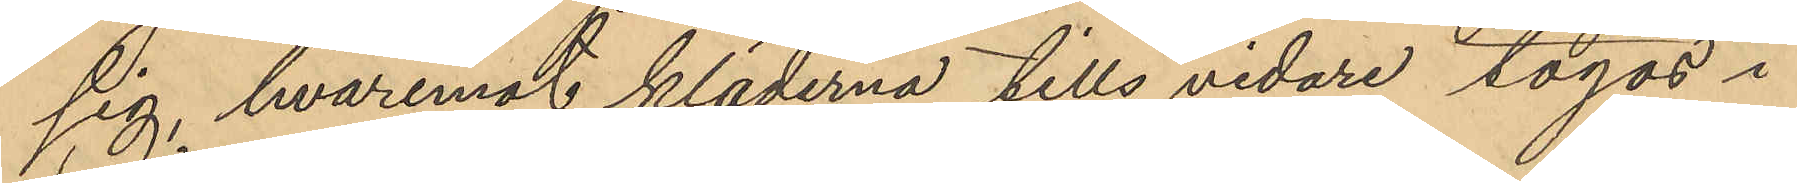sig, hvaremot kläderna tills vidare togos i
